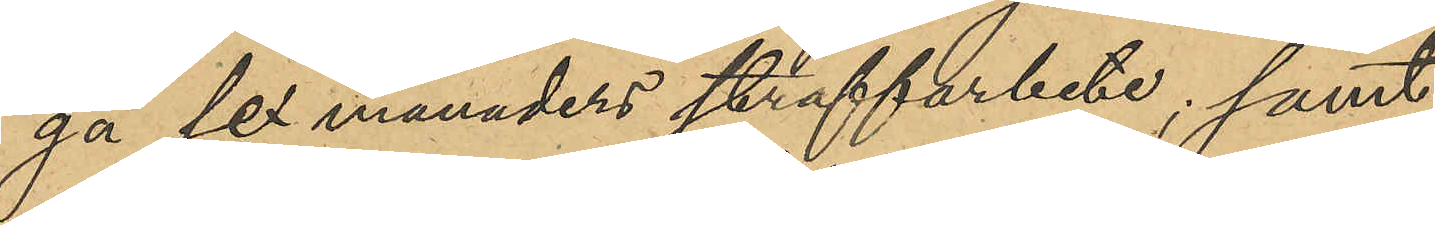gå sex månaders straffarbete; samt
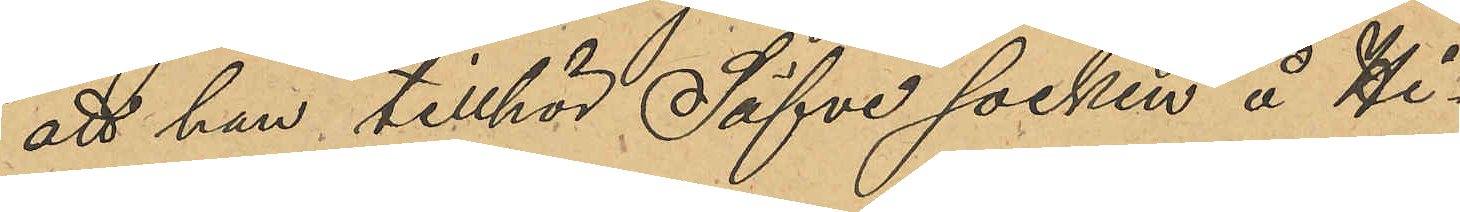att han tillhör Säfve socken å Hi¬
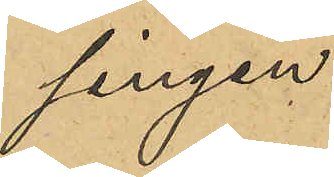singen.
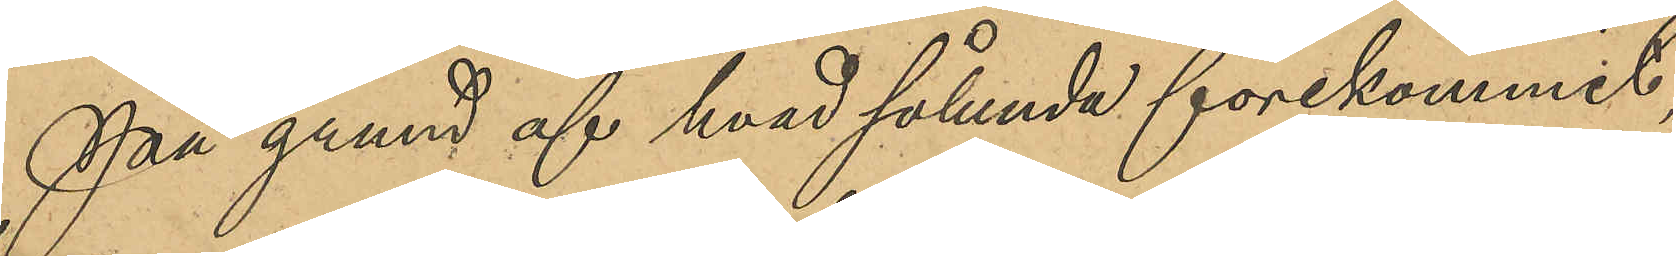På grund af hvad sålunda förekommit
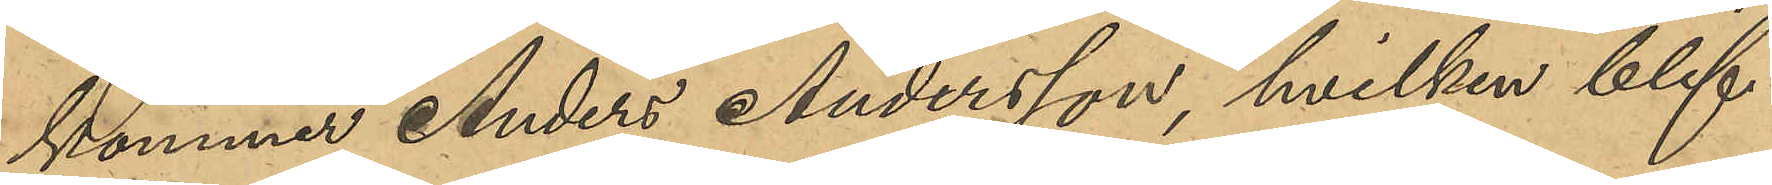kommer Anders Andersson, hvilken blif¬
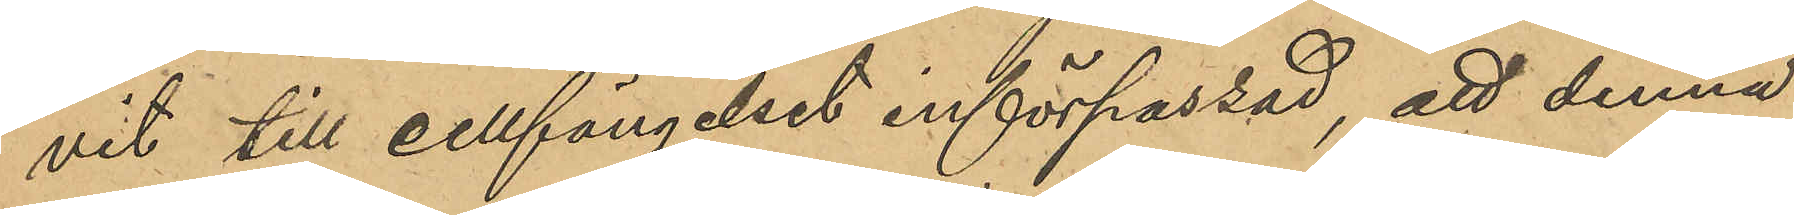vit till Cellfängelset införpassad, att denna
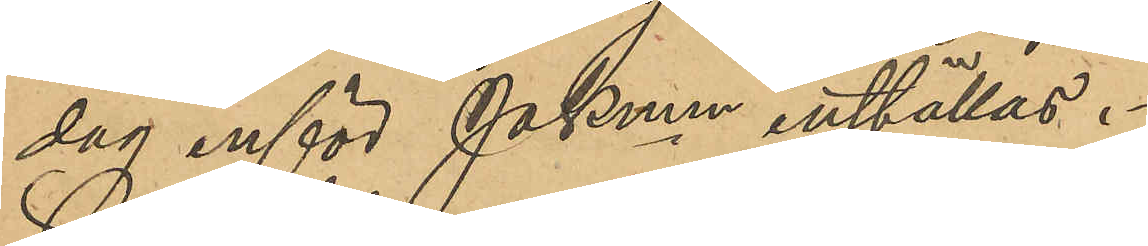dag inför PKmen inställas.
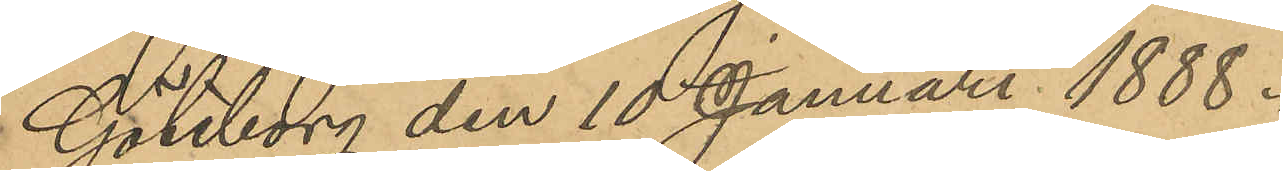Göteborg den 10 Januari 1888.
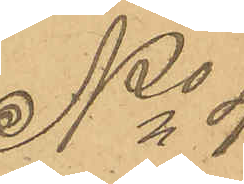No 4.
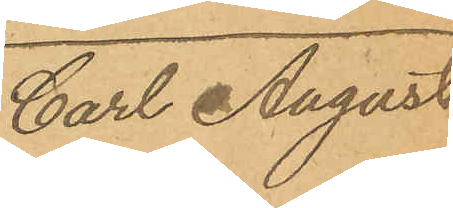Carl August
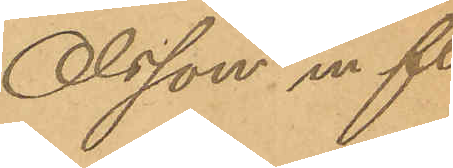Olsson m fl.
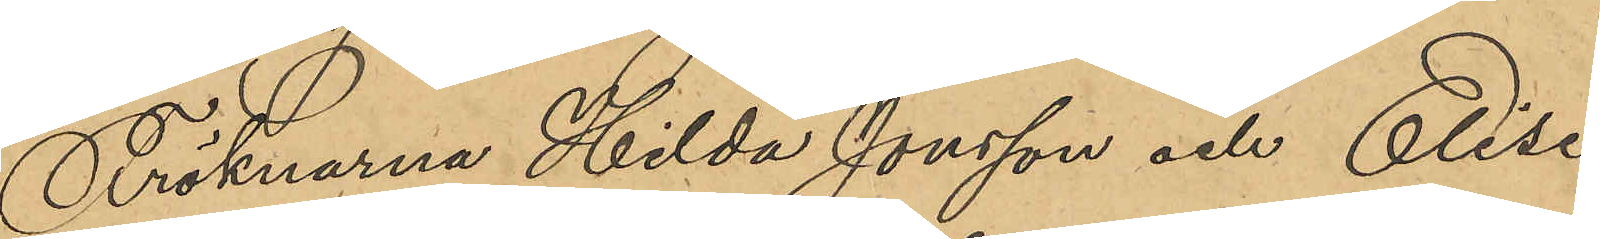Fröknarna Hilda Jonsson och Elise
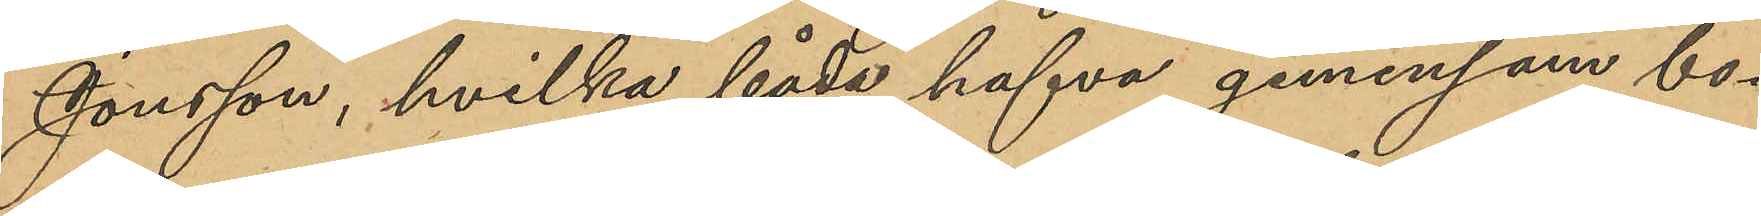Jonsson, hvilka båda hafva gemensam bo¬
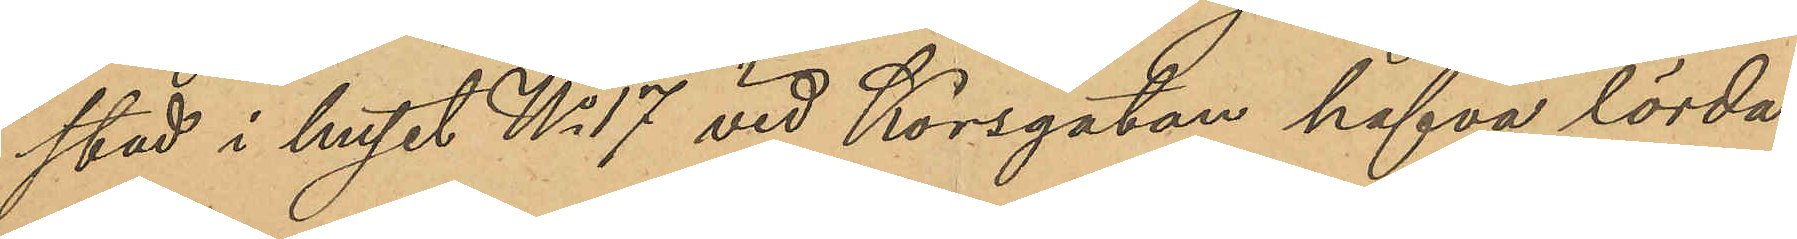stad i huset No 17 vid Korsgatan hafva lörda¬
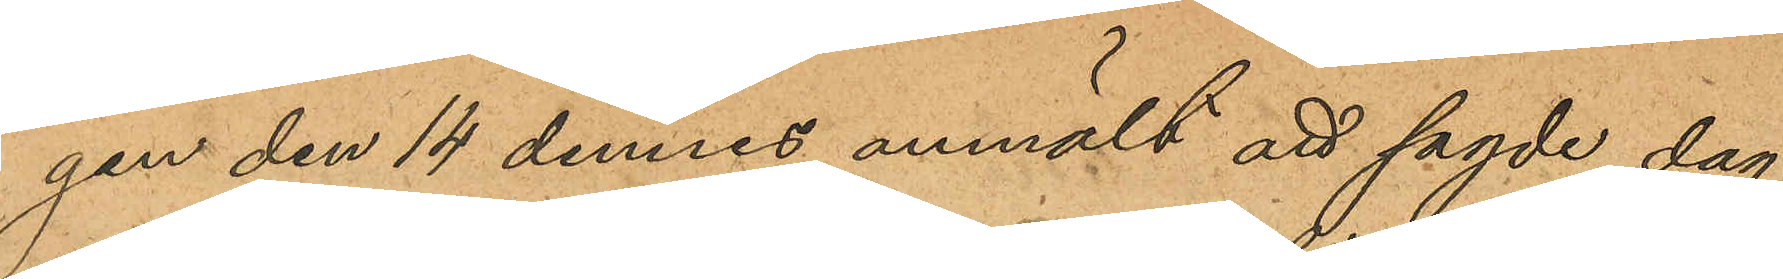gen den 14 dennes anmält att sagde dag
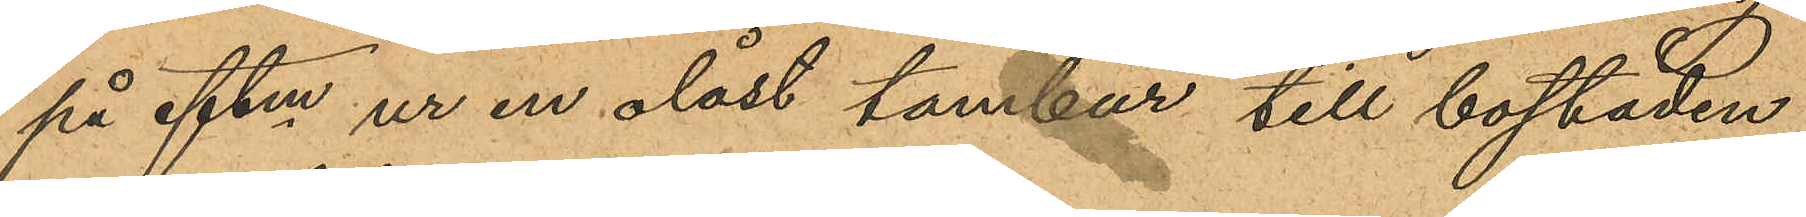på eftm ur en olåst tambur till bostaden
